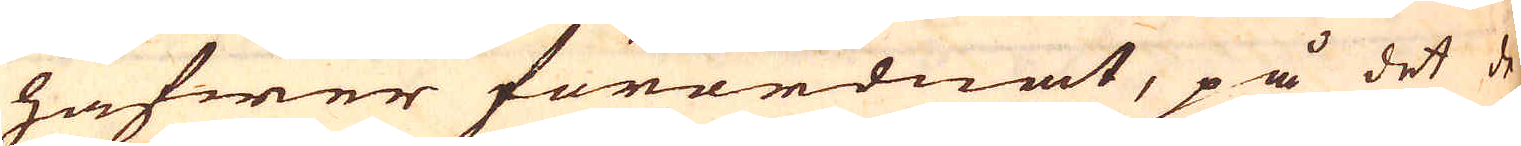hafwer förordnat, på det de
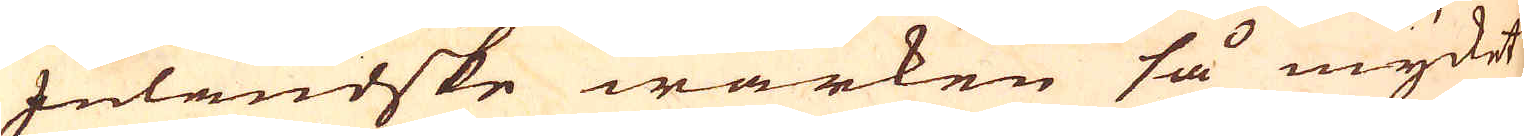Inländske wärken så mycket
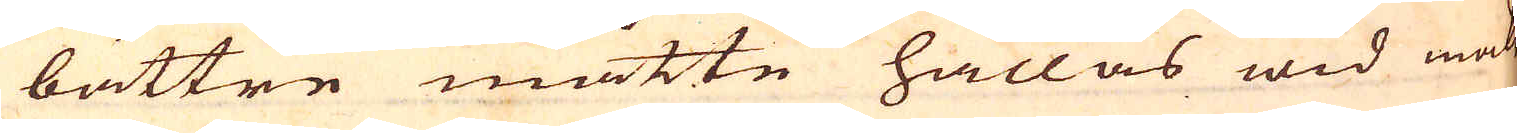bättre måtte hållas wid makt.
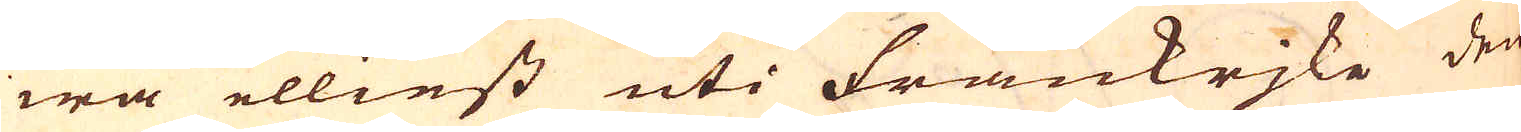wa elliest uti Frankrjke den
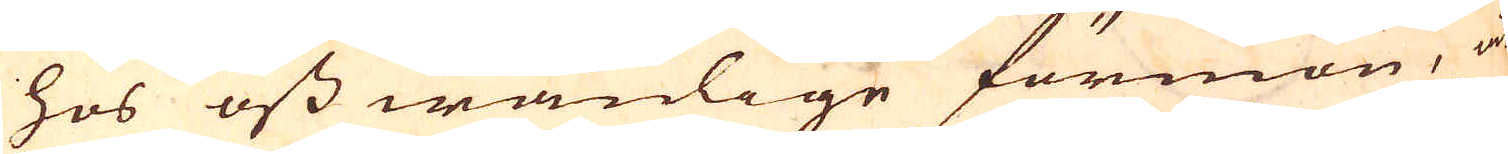hos oss wanlige förmon, at
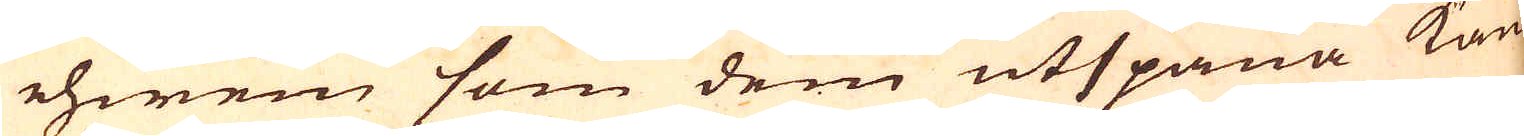ehwen som dem utspana kan
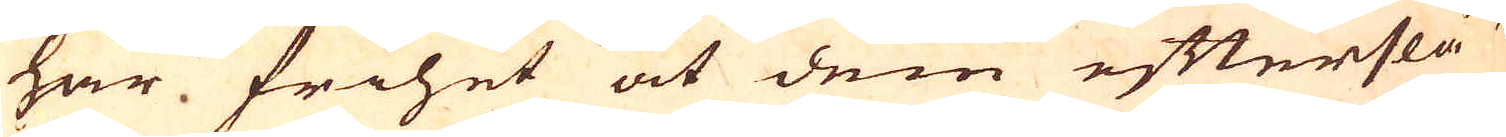har frihet at dem efterslå u-
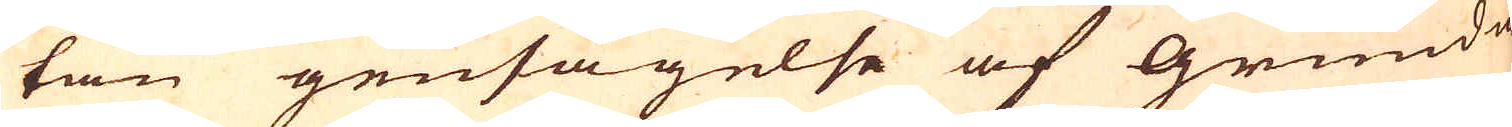tan gensägelse af Grundä-
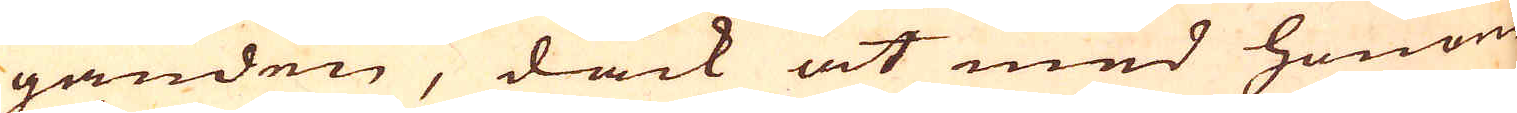ganden, dåck at med honom
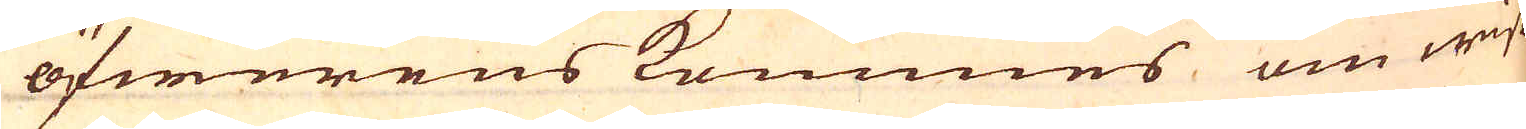öfwerens kommes om wiss
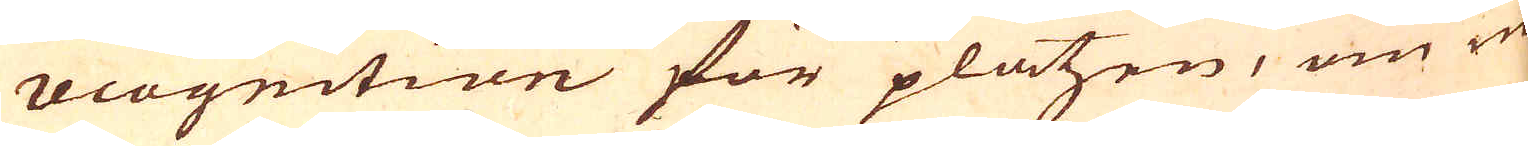recognition för platzen, om nå-
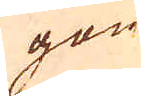gon
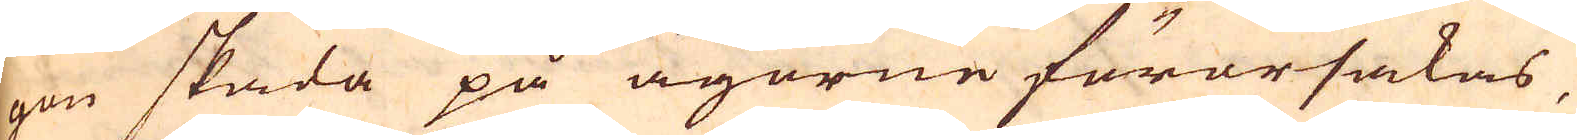gon skada på ägorne förorsakas,
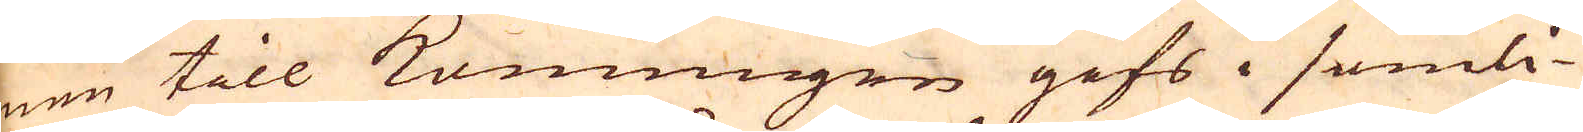men till Konungen gifs i somli-
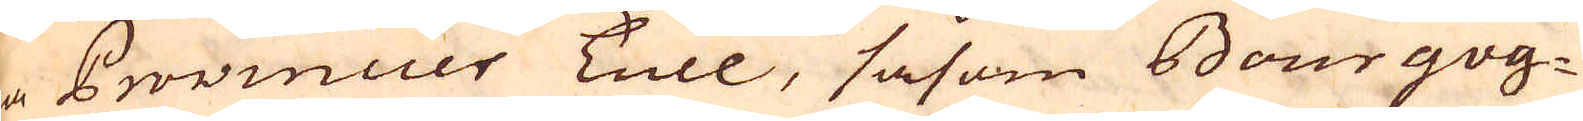ga Provincier Tull, såsom Bourgog-
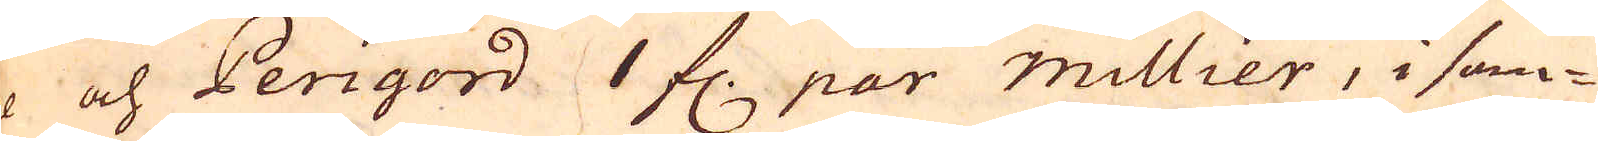ne och Perigord 1 fl. par millier, i som-
